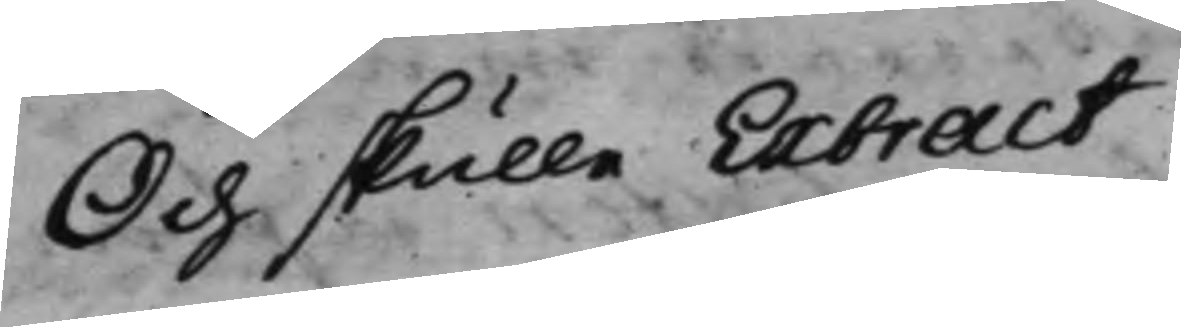Och skulle Extract
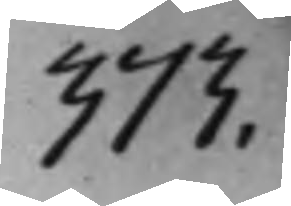373.
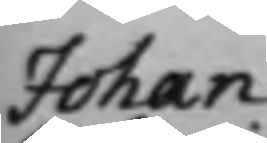Johan
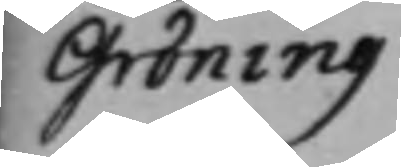Gröning
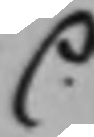C.
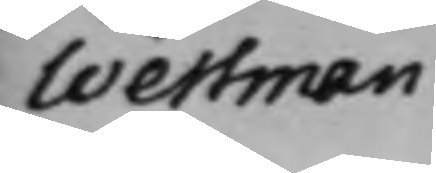Wessman
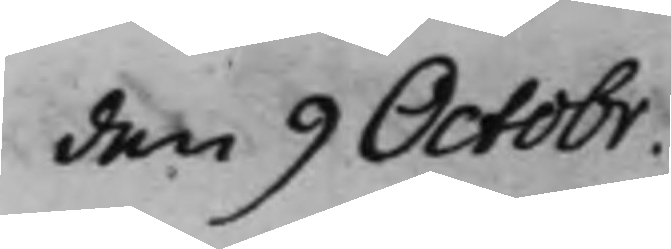den 9 Octobr.
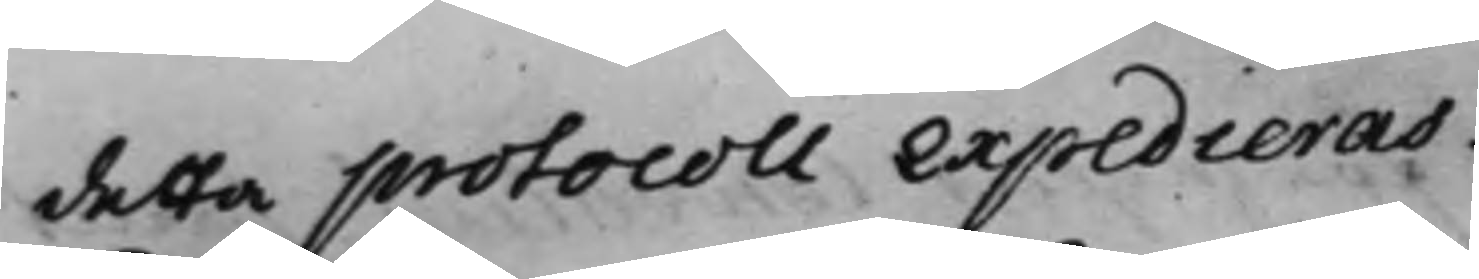detta protocoll expedieras,
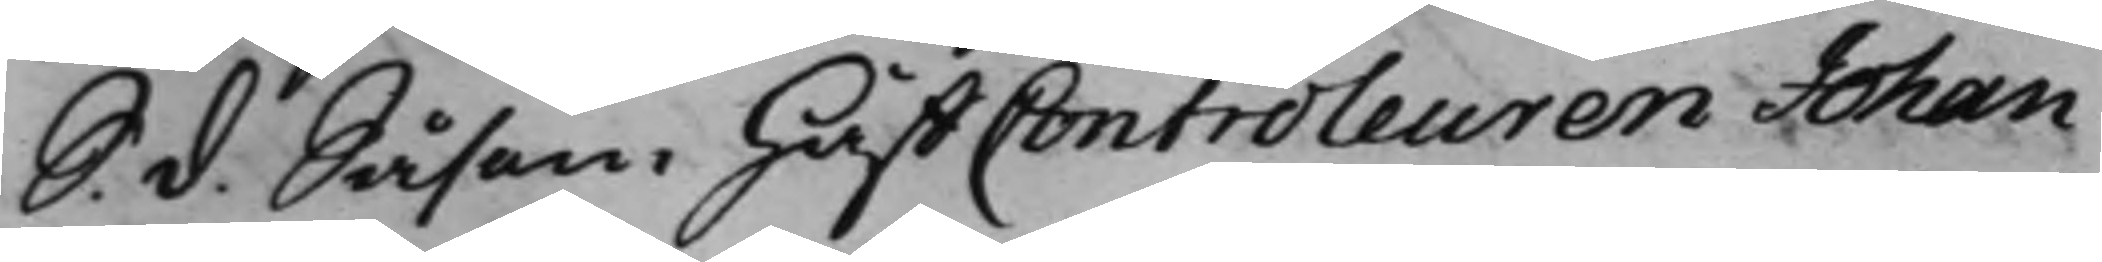S. d. Såsom HåffControleuren Johan
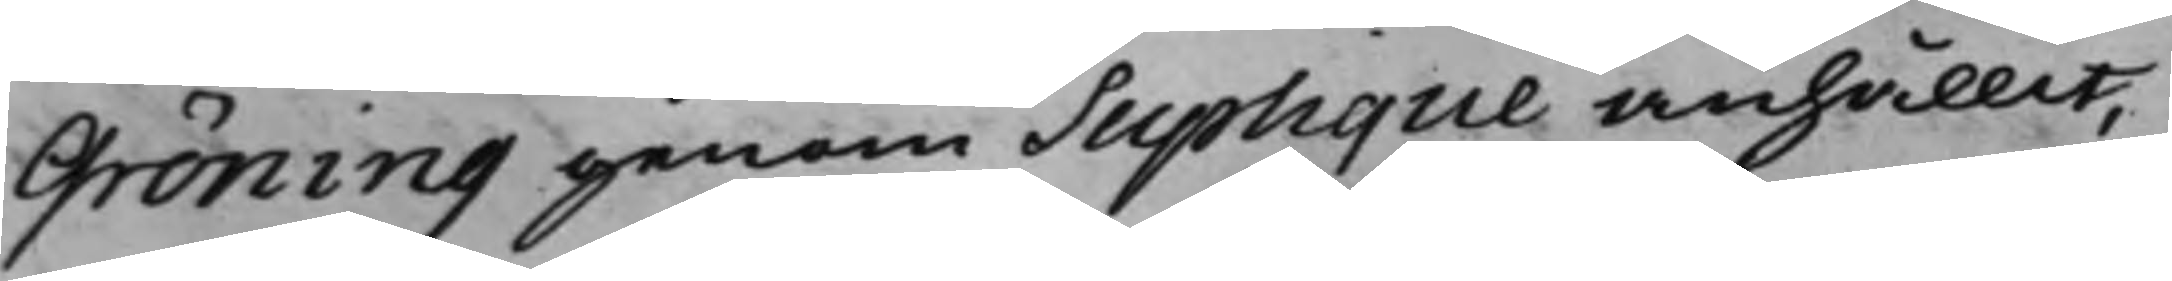Gröning genom Suplique anhållit,
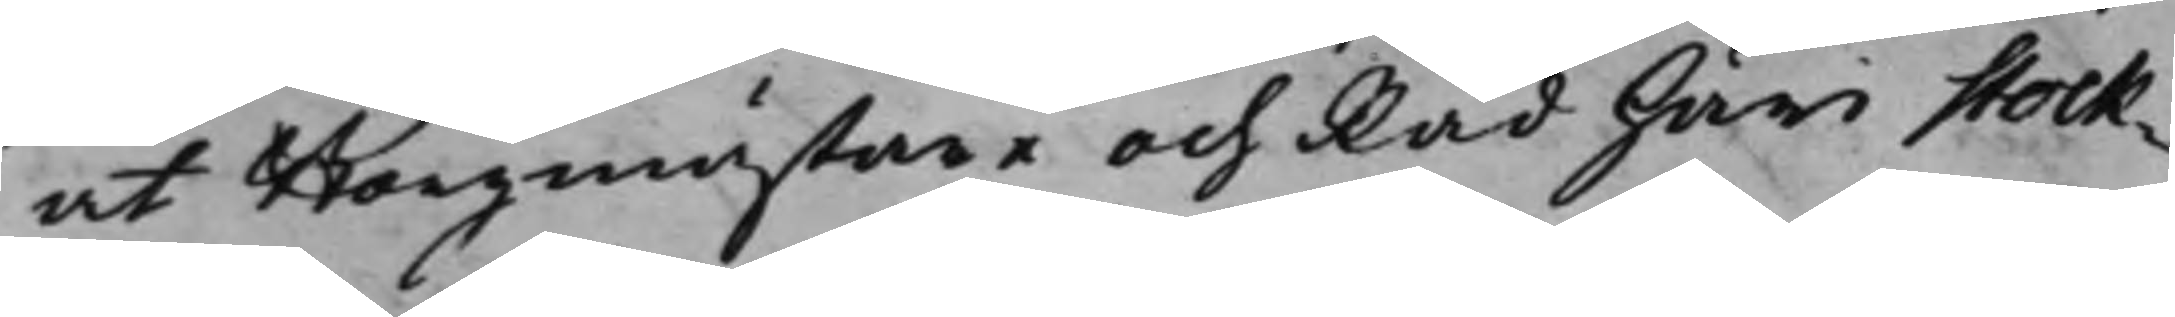at Borgmästare och Råd Häri Stock¬
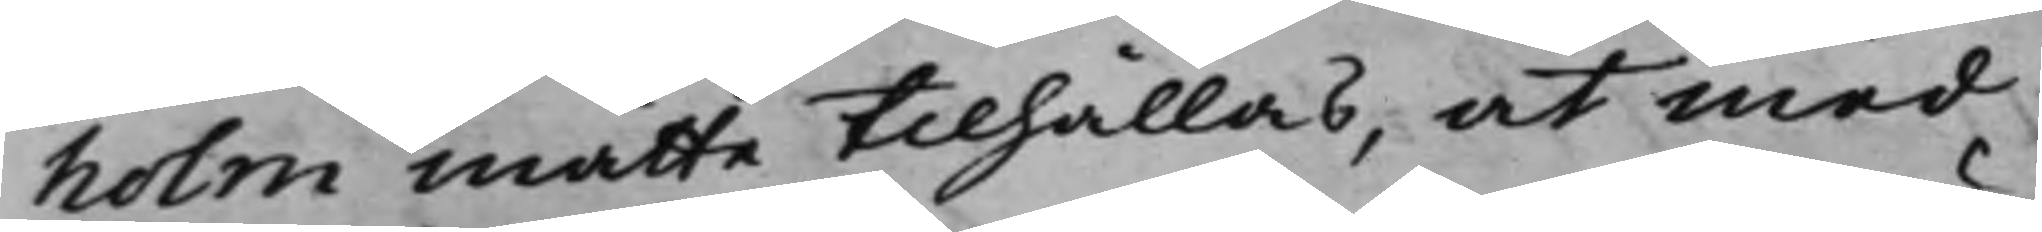holm måtte tilhållas, at med
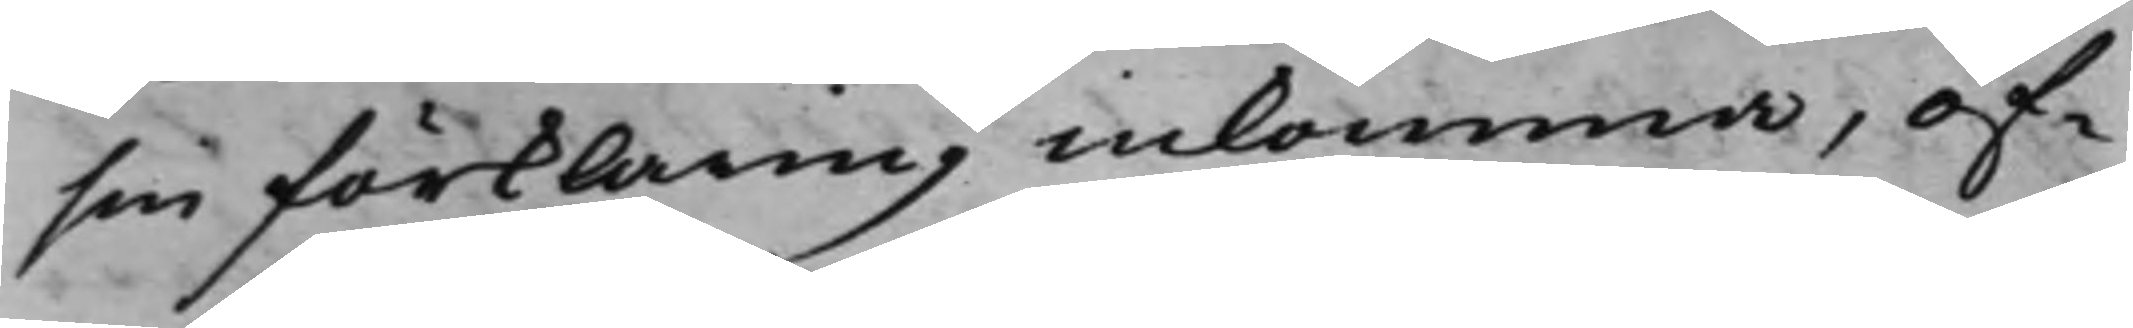sin förklaring inkomma, öf¬
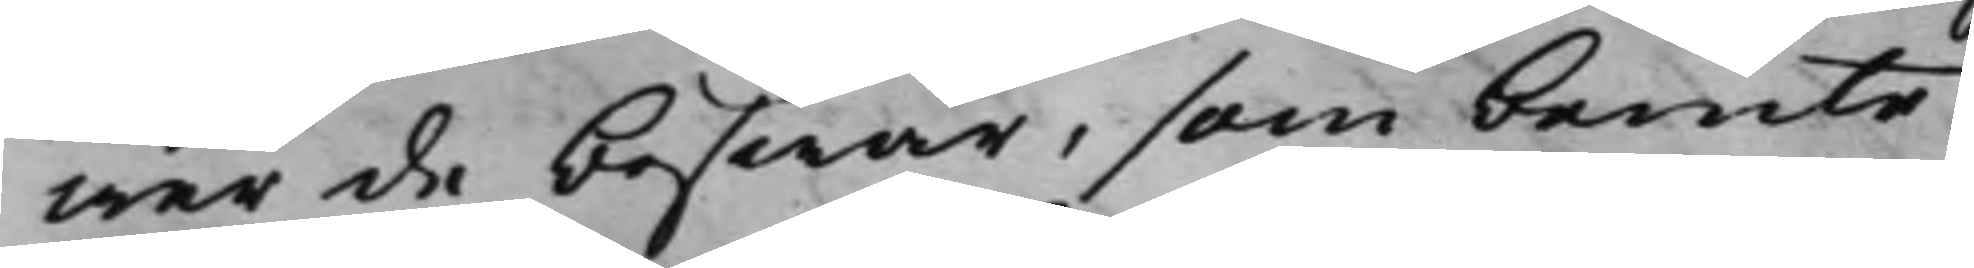wer de beswär, som bemte
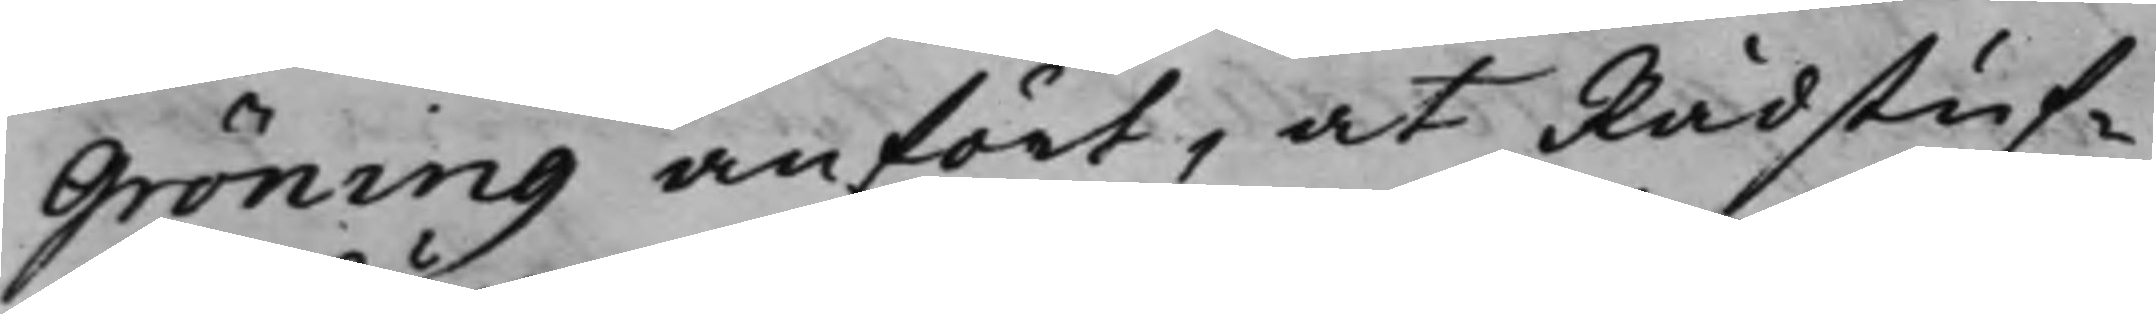Gröning anfört, at Rådstuf¬
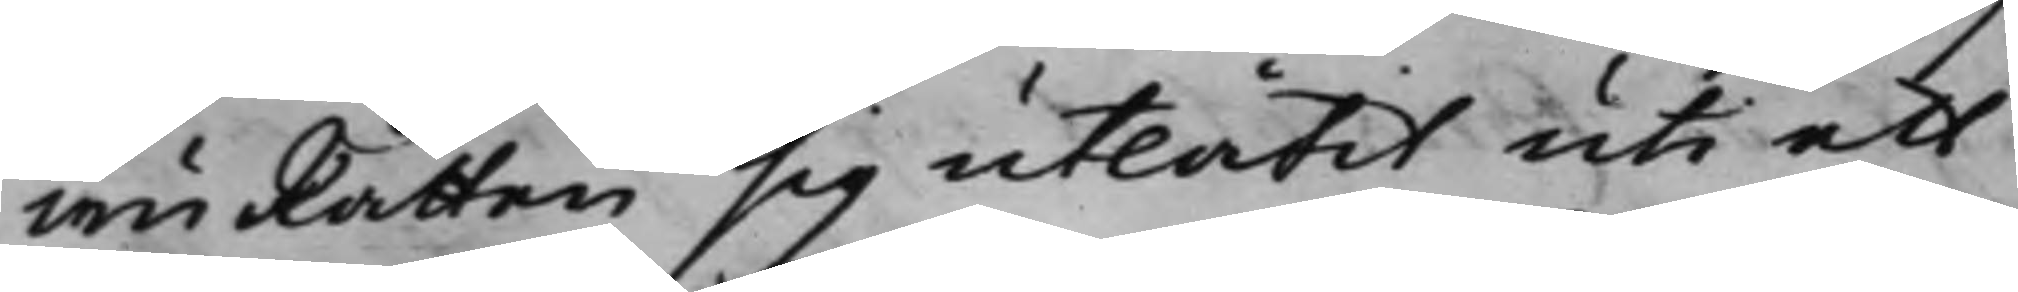wuRätten sig utlåtit uti ett
